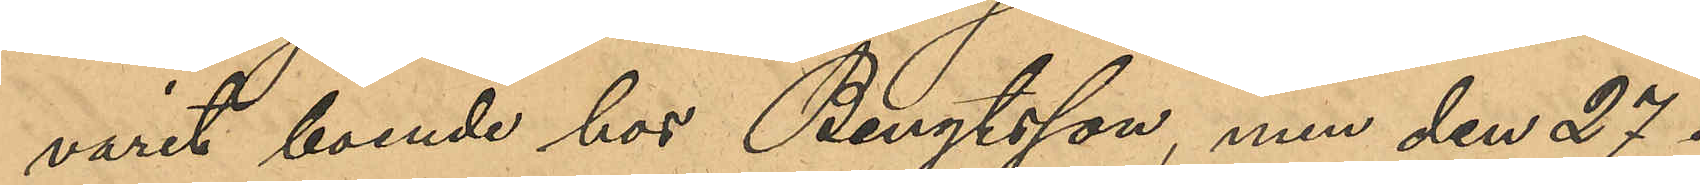varit boende hos Bengtsson, men den 27 i
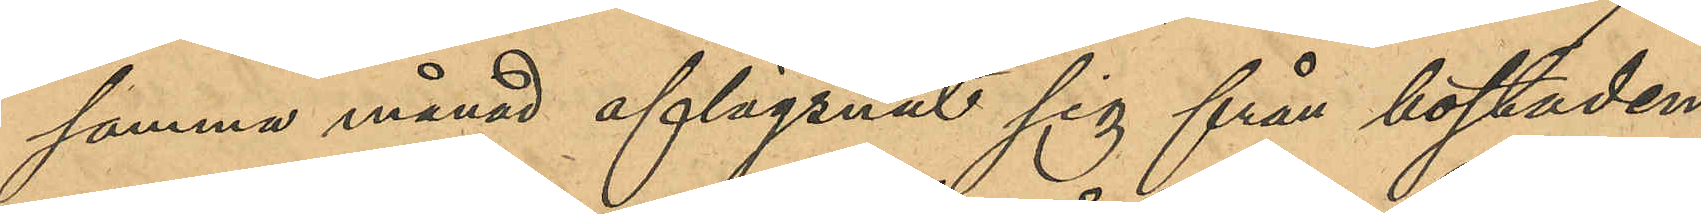samma månad aflägsnat sig från bostaden,
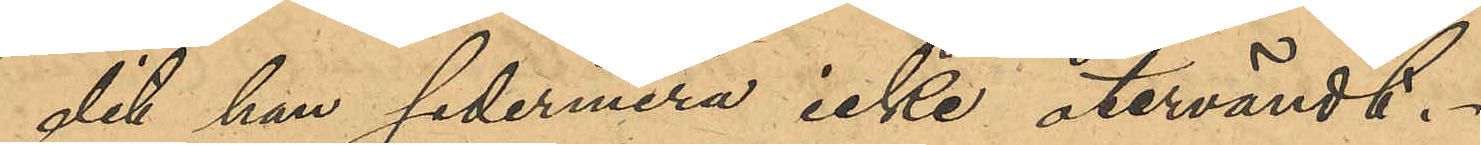dit han sedermera icke återvändt.
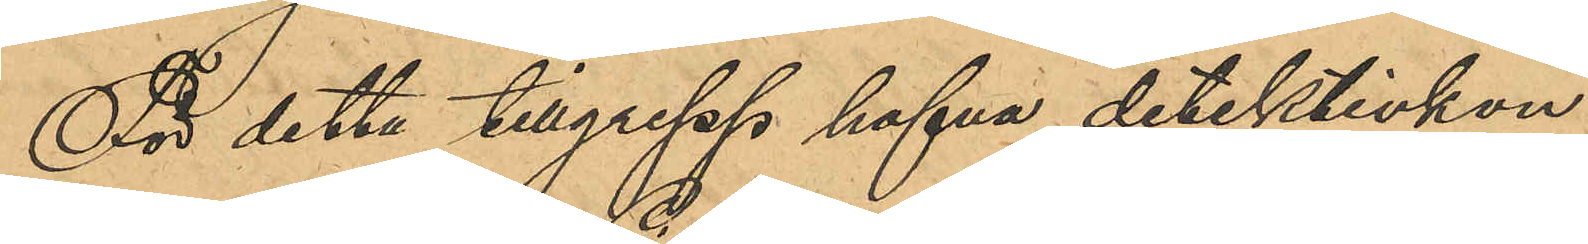För detta tillgrepp hafva detektivkon¬
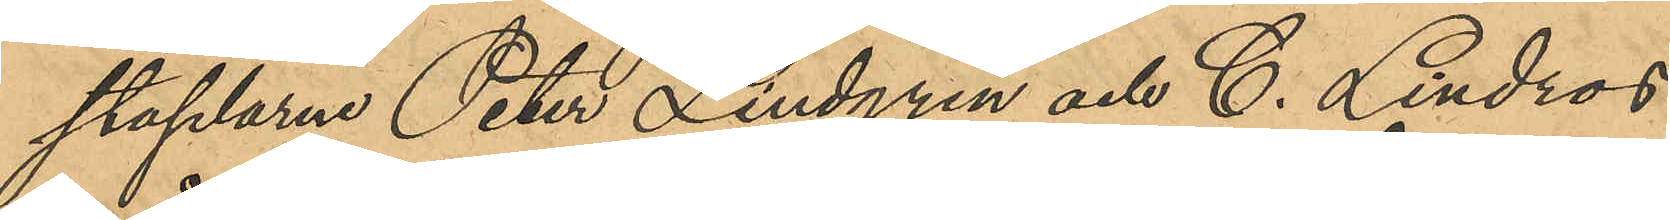staplarne Peter Lindgren och C. Lindros
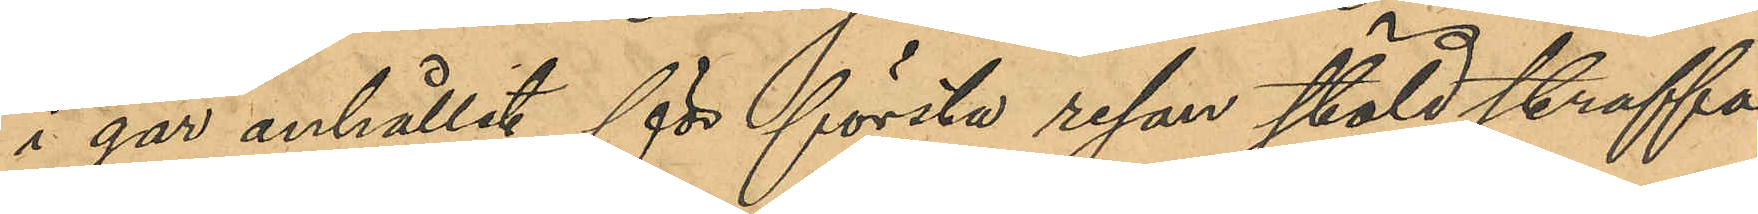i går anhållit för första resan stöld straffa¬
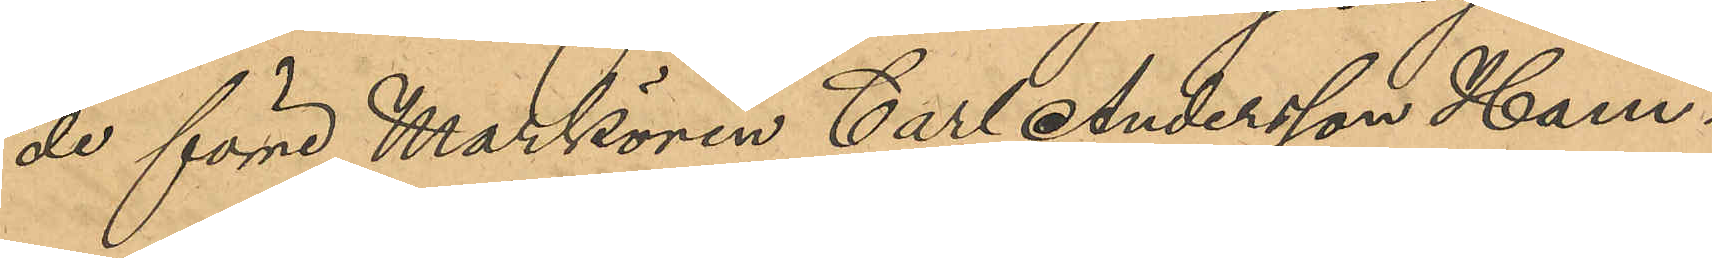de förre Markören Carl Anderson Ham¬
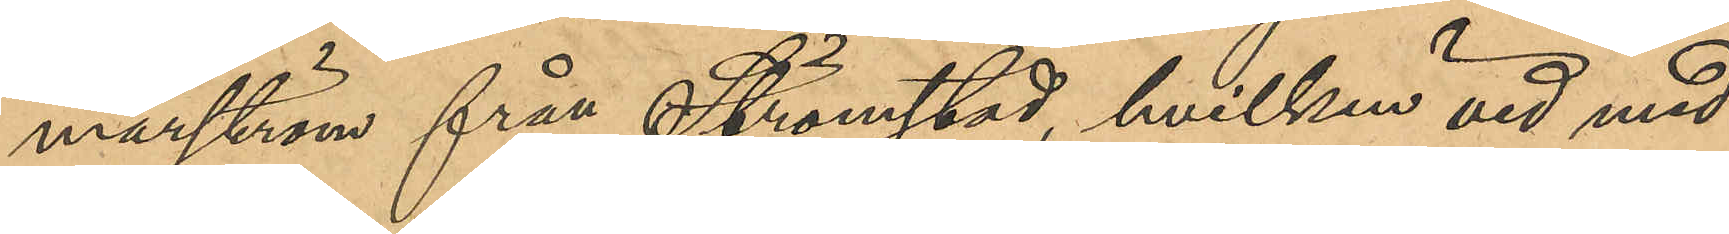marström från Strömstad, hvilken vid med
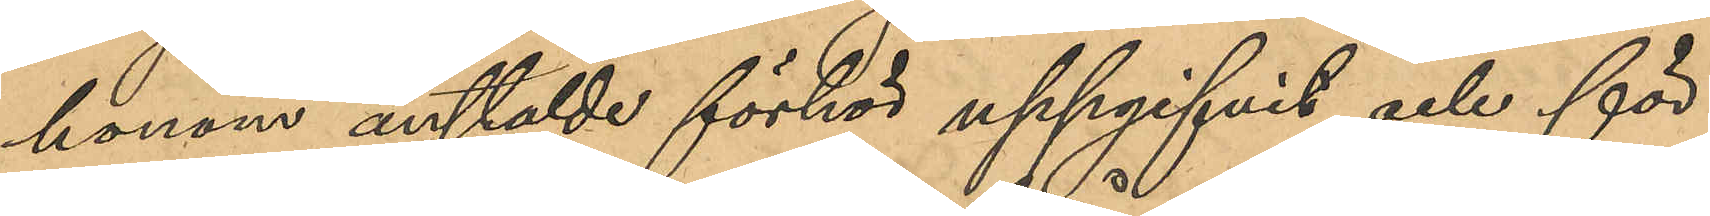honom anstäldt förhör uppgifvit och för¬ 
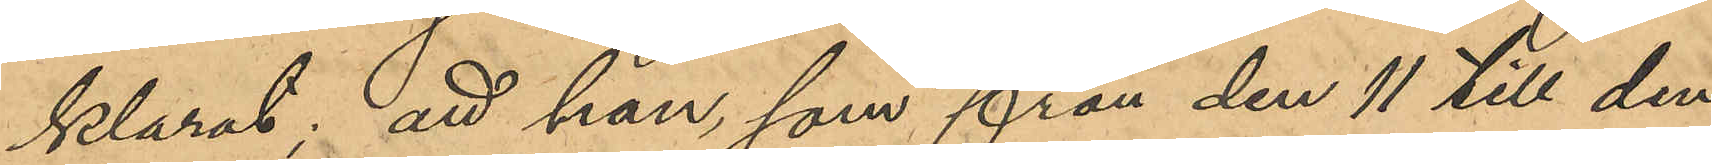klarat; att han, som från den 11 till den
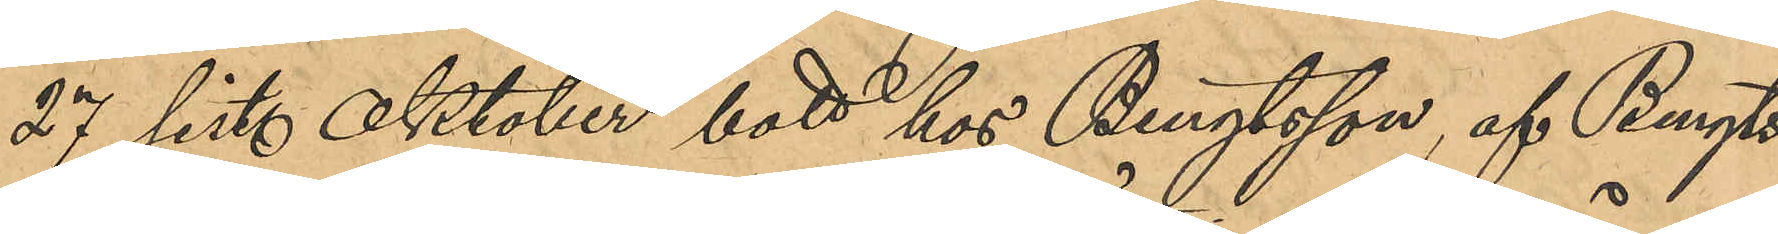27 sist. Oktober bott hos Bengtson, af Bengts¬
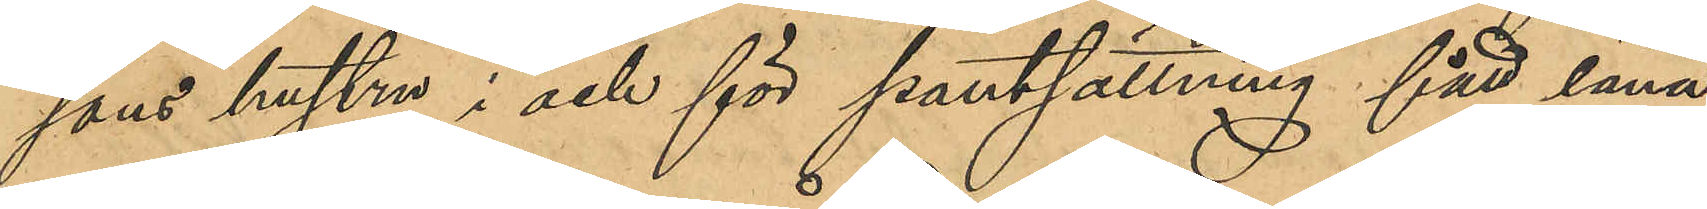sons hustru i och för pantsättning fått låna,
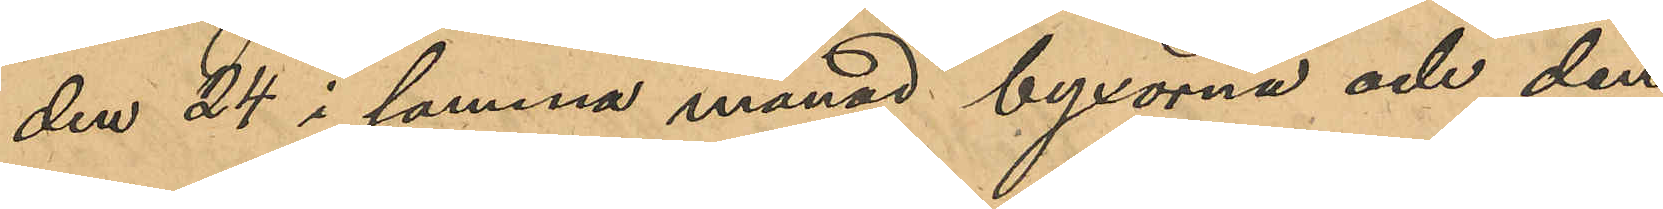den 24 i samma månad byxorna och den
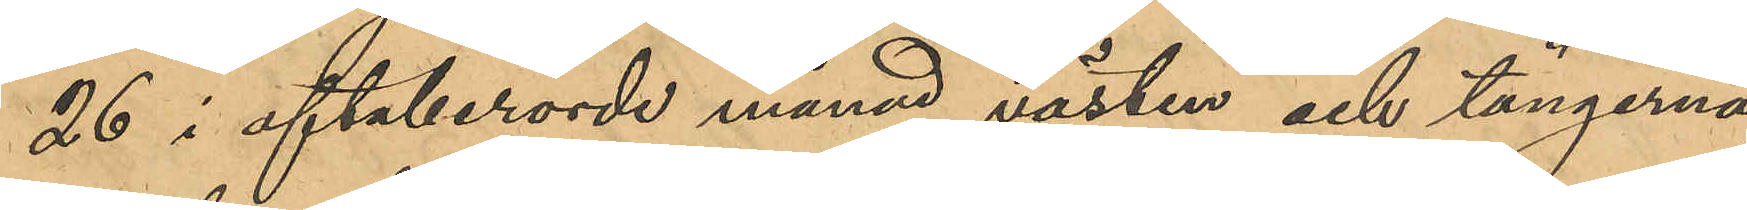26 i oftaberörde månad västen och tängerna;
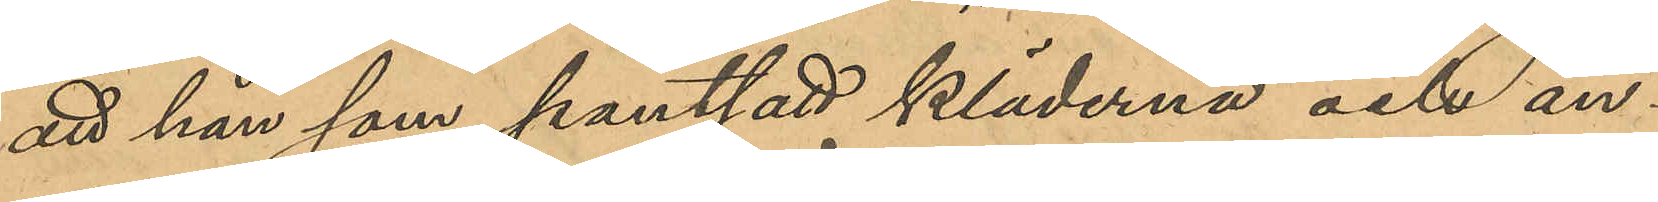att han som pantsatt kläderna och an¬
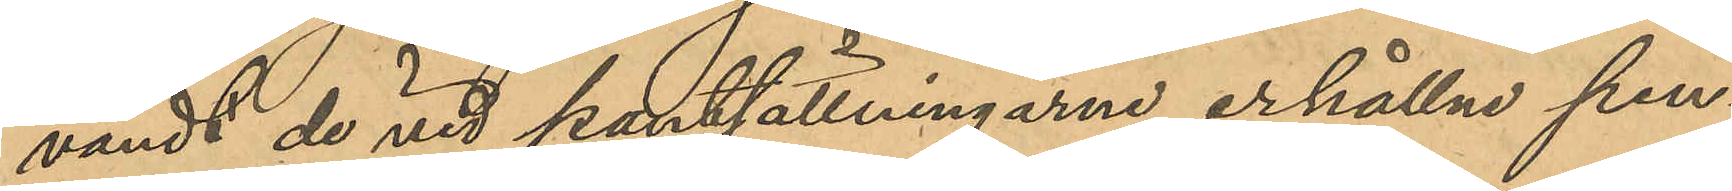vändt de vid pantsättningarne erhålle pen¬
